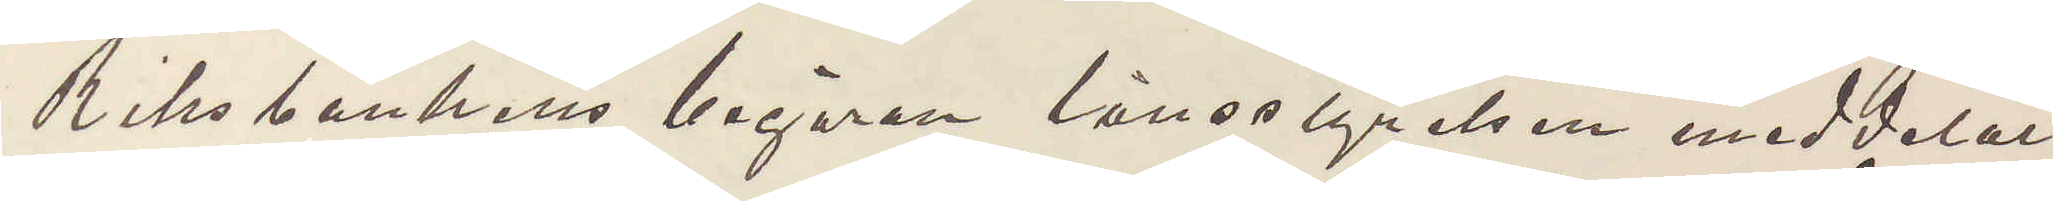Riksbankens begäran länsstyrelsen meddelat
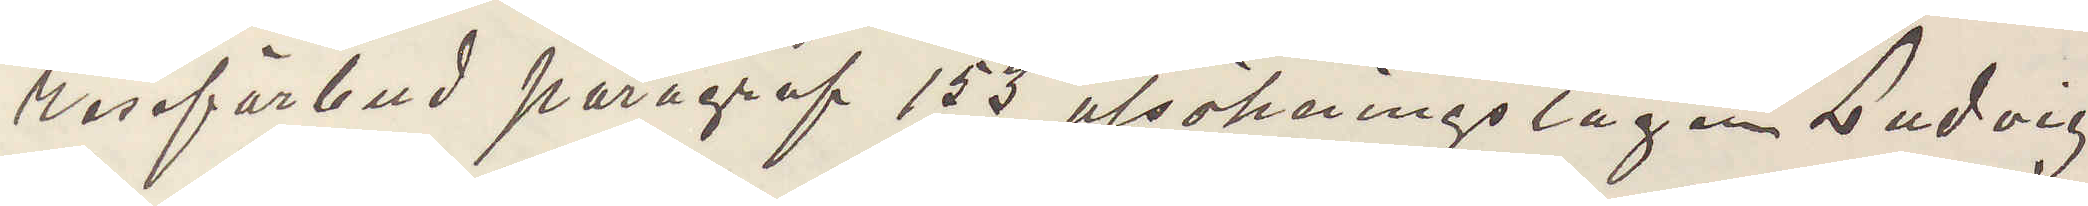reseförbud paragraf 153 utsökningslagen Ludvig
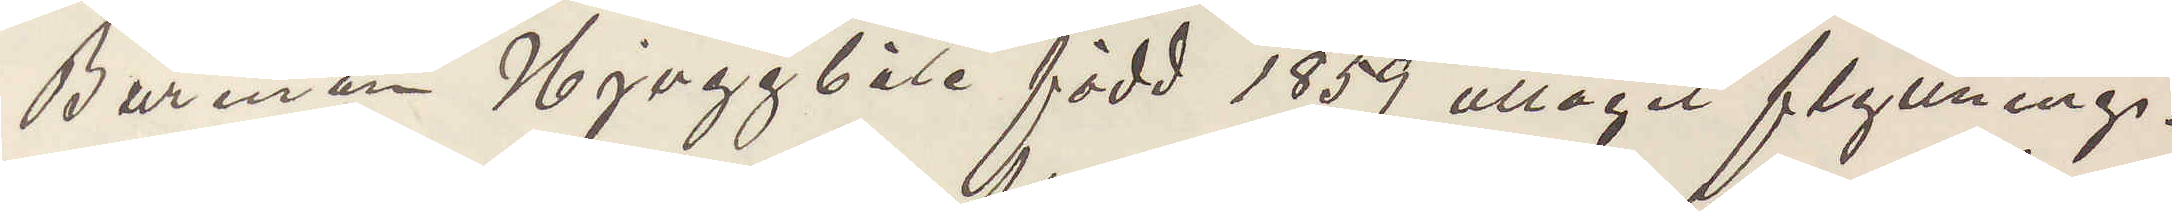Burman Njuggböle född 1859 uttagit flyttnings¬
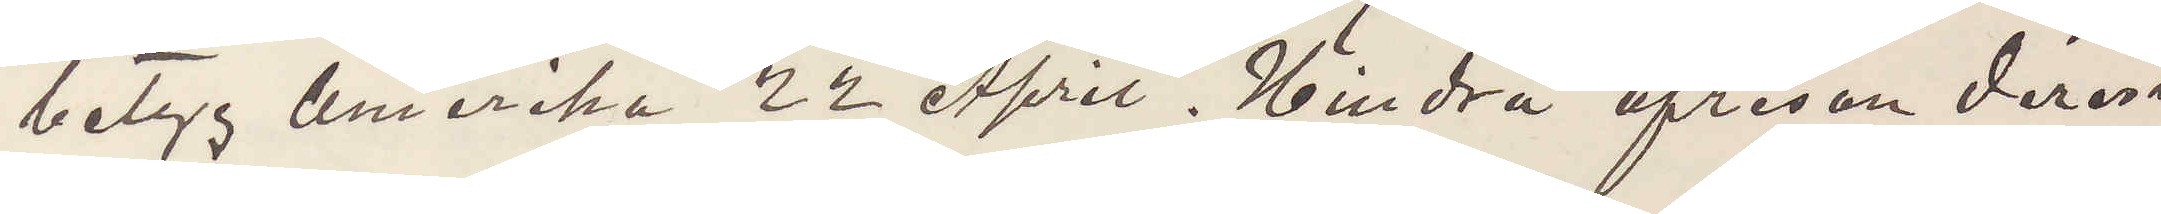betyg Amerika 22 April. Hindra afresan derest
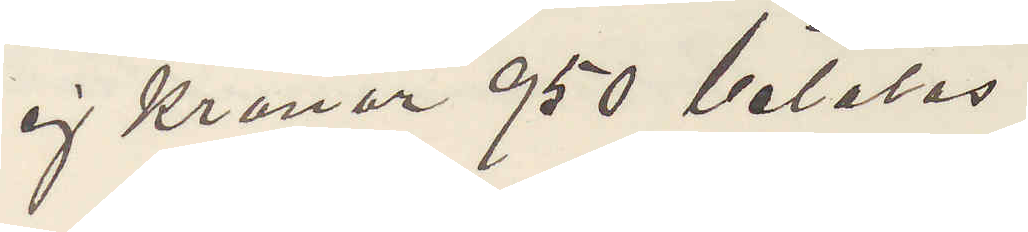ej Kronor 950 betalas.
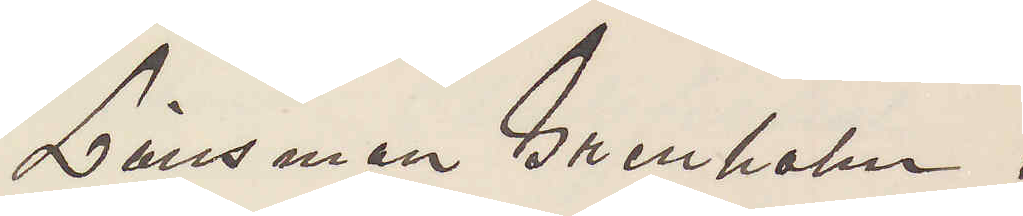Länsman Grenholm.
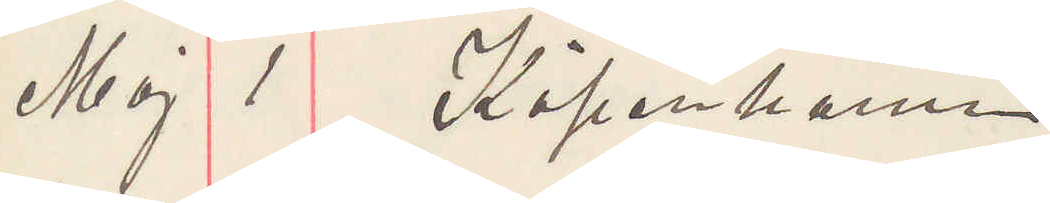Maj 1 Köpenhamn.
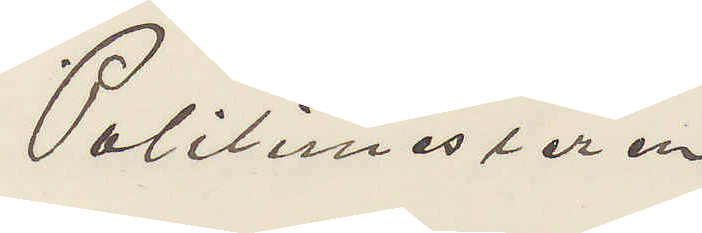Politimesteren
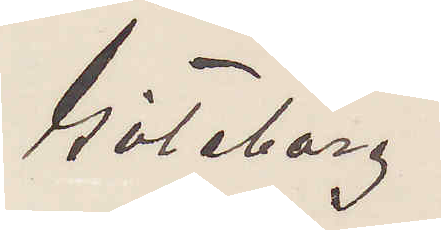Göteborg.
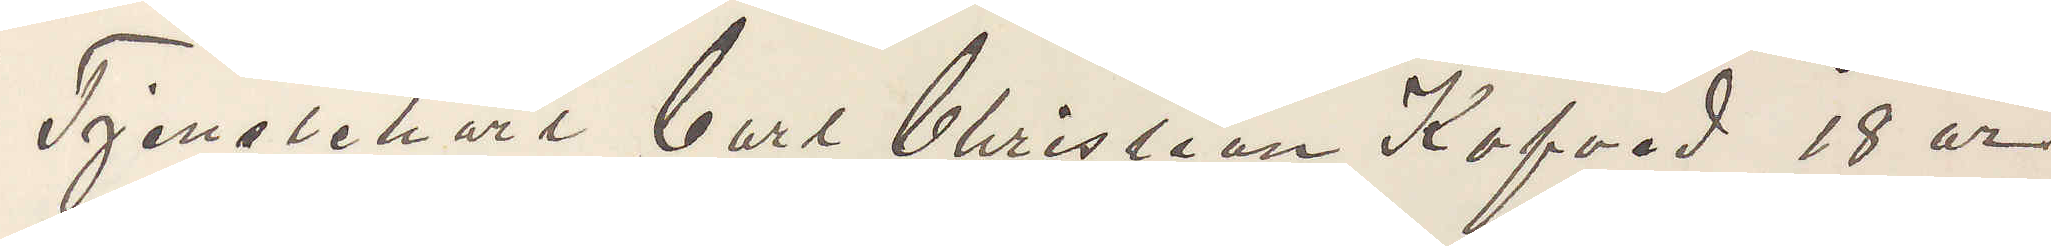Tjenstekarl Carl Christian Kofved 18 år
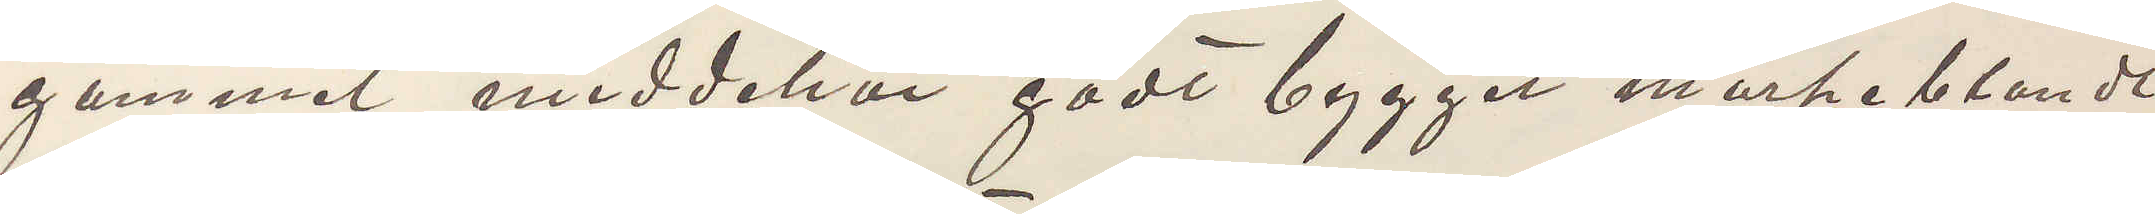gammal middelhöi godt bygget mörkeblondt
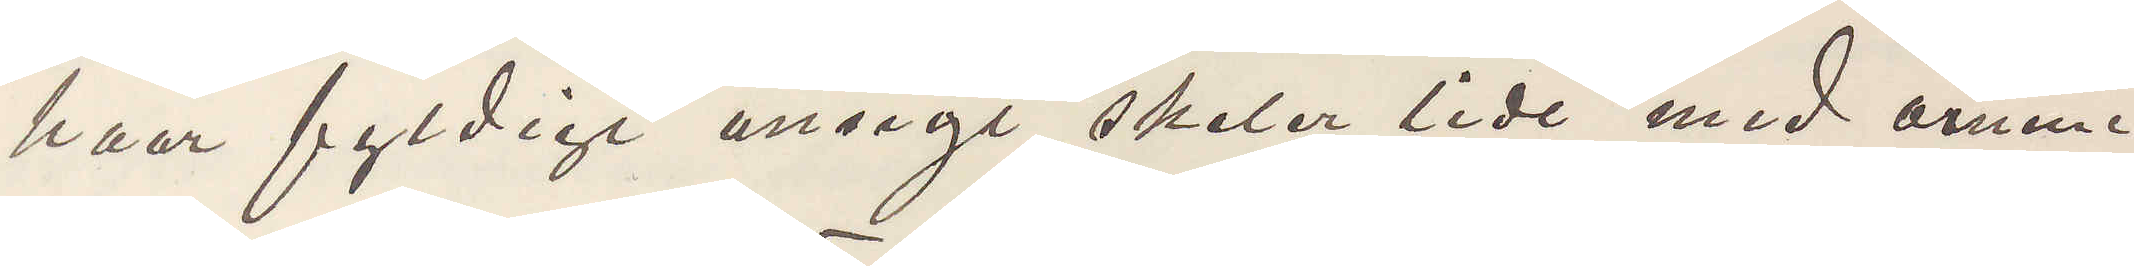haar fyldigt ansigt skeler lidt med öinene
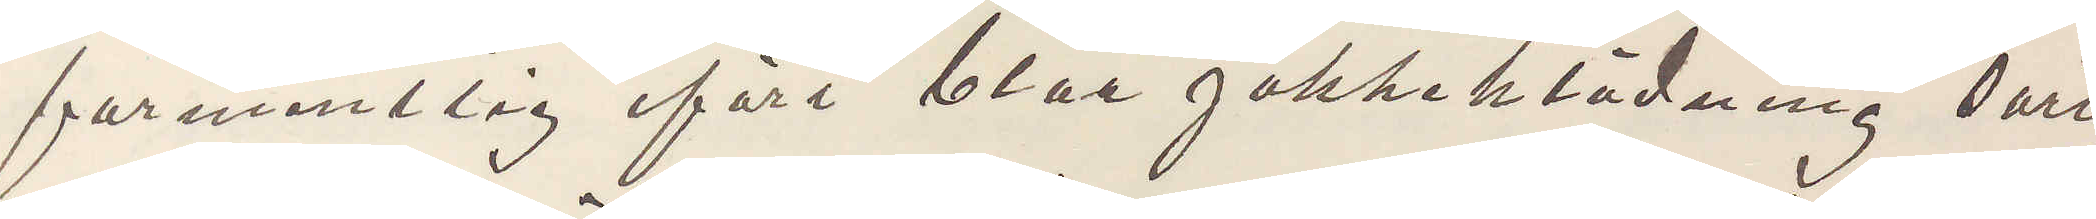formentlig ifört blae jakkeklädning sort
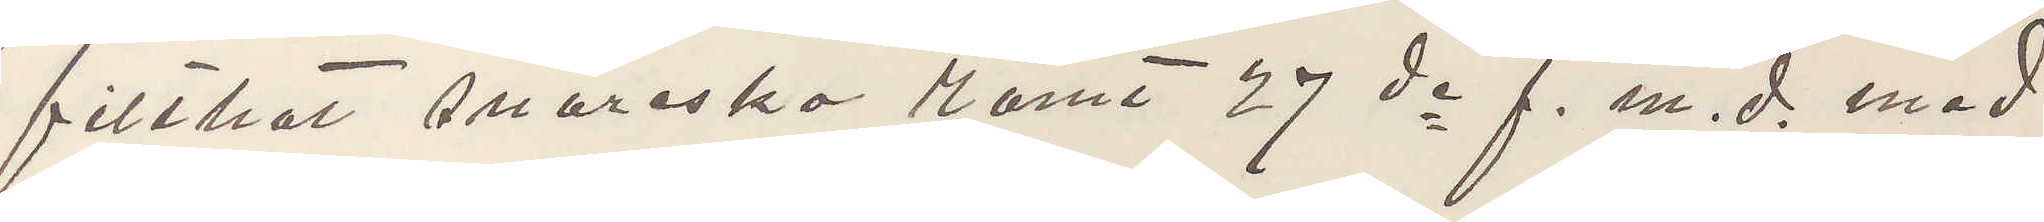filthat snöresko Römt 27 de f. m. d. med
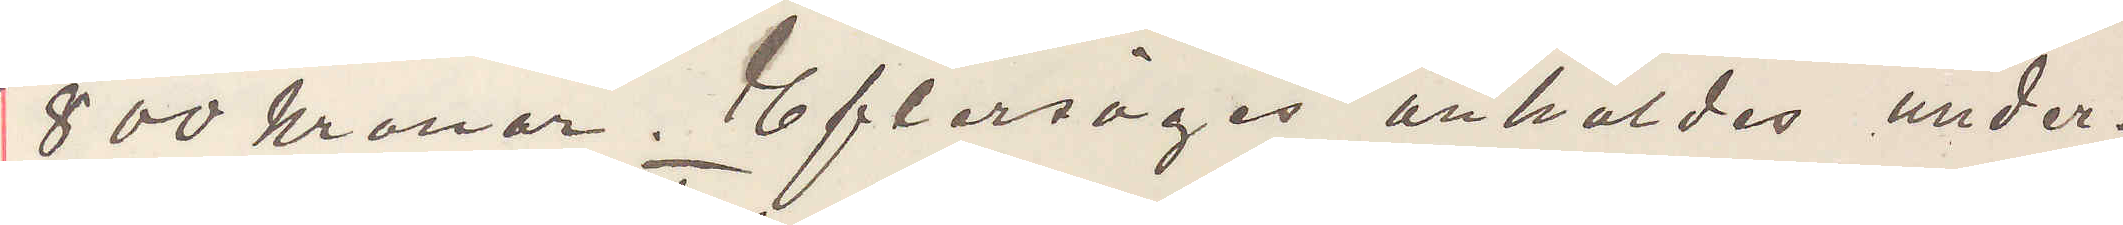800 kronor. Eftersöges anhåldes under¬
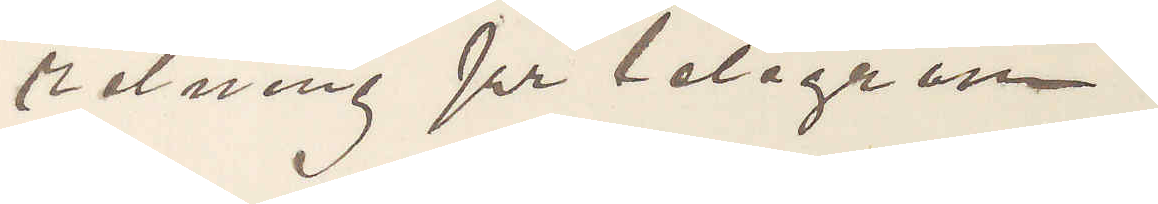retning pr telegram.
